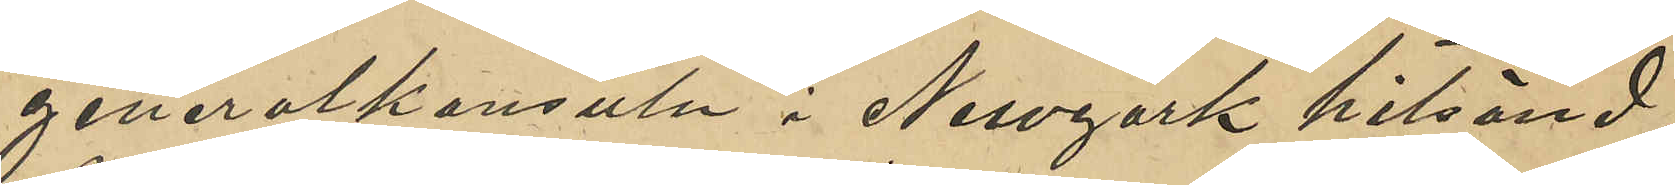generalkonsuln i Newyork hitsänd;
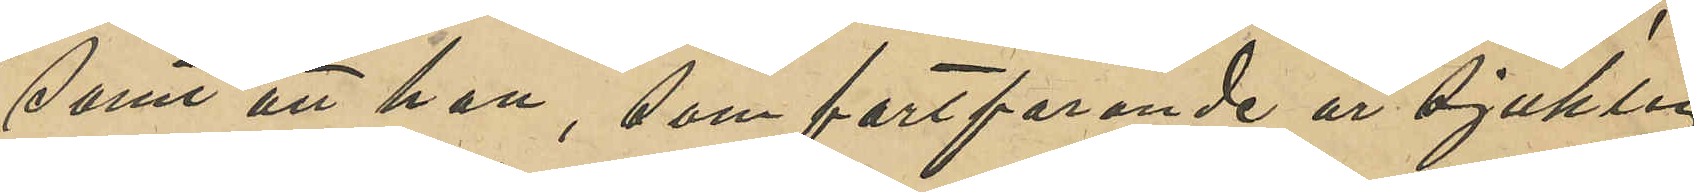samt att han, som fortfarande är sjuklig
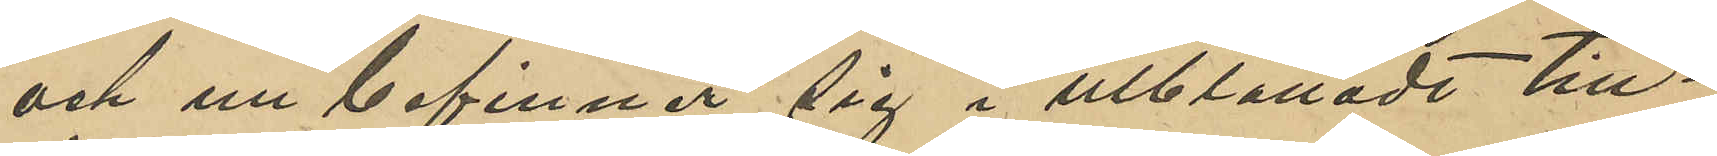och nu befinner sig i utblottadt till¬
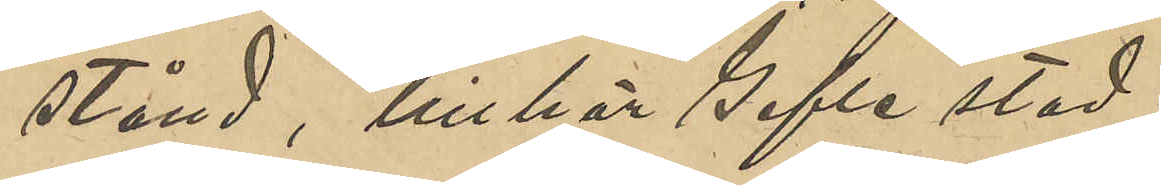stånd, tillhör Gefle stad.
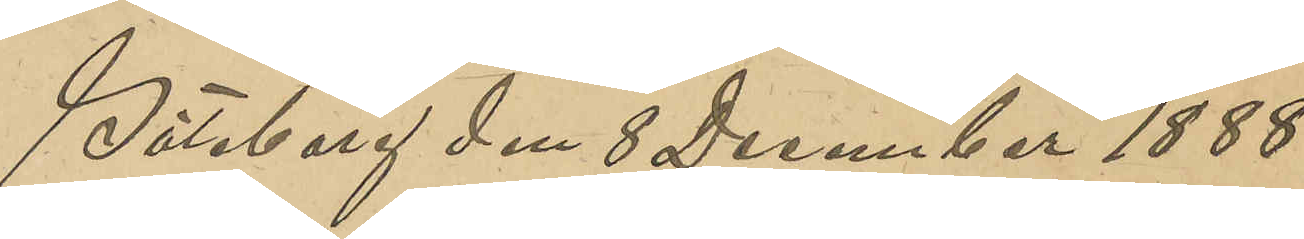Göteborg den 8 December 1888.
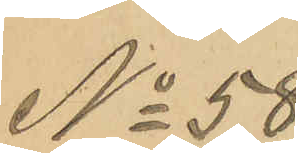No 58
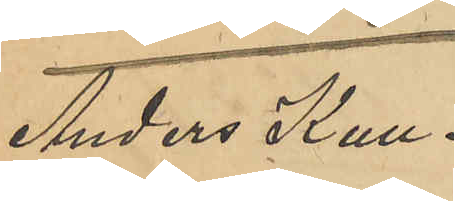Anders Kull¬
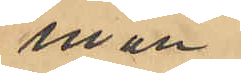man.
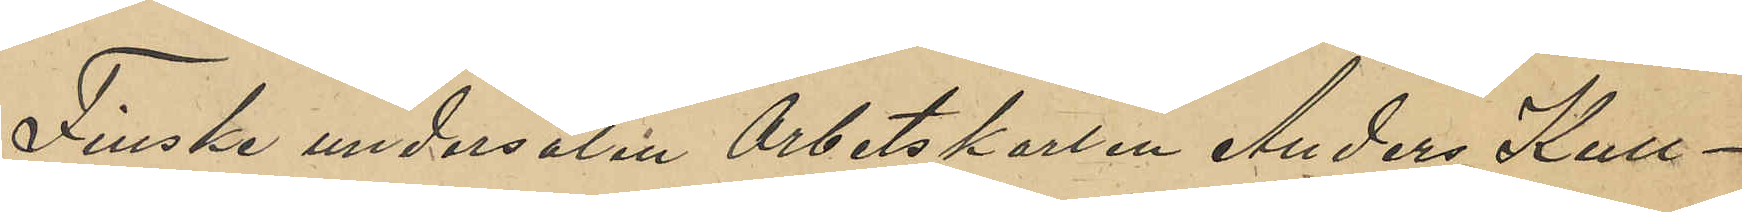Finske undersåten Arbetskarlen Anders Kull¬
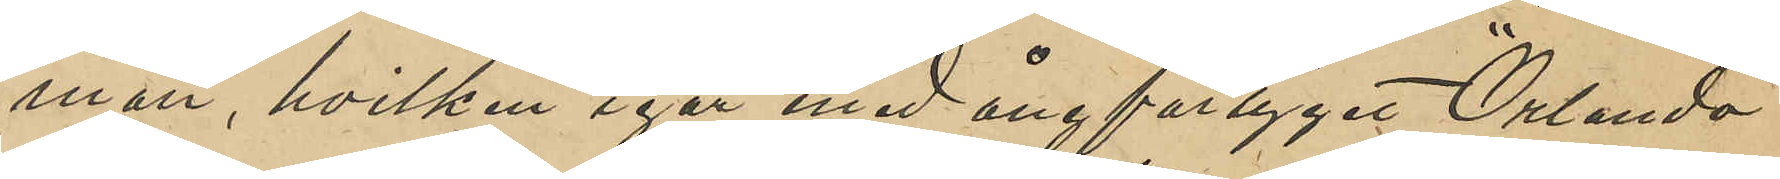man, hvilken igår med ångfartyget "Orlando"
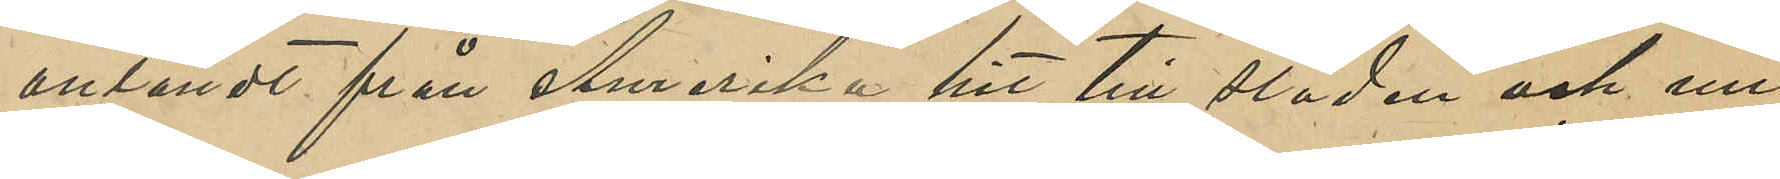anländt från Amerika hit till staden och nu
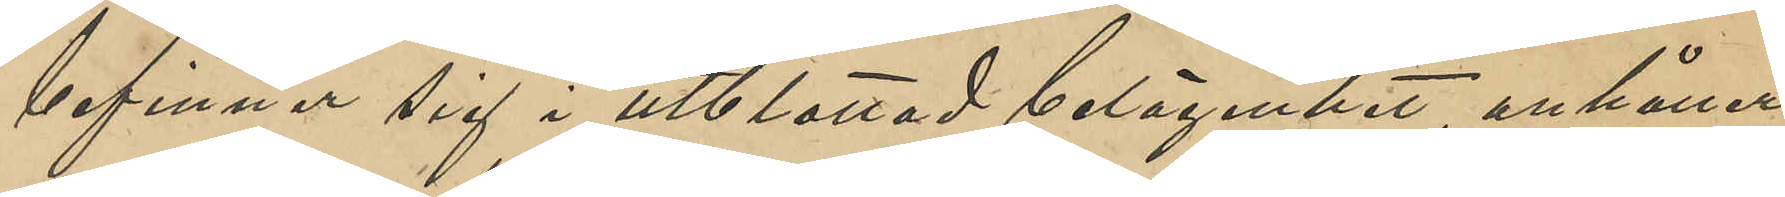befinner sig i utblottad belägenhet, anhåller
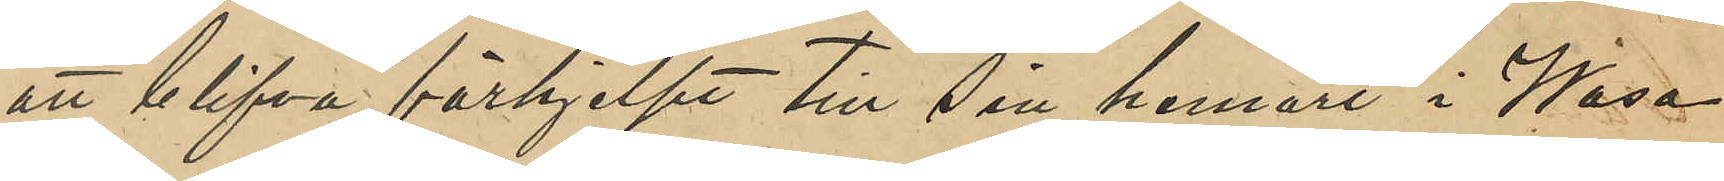att blifva förhjelpt till sin hemort i Wasa
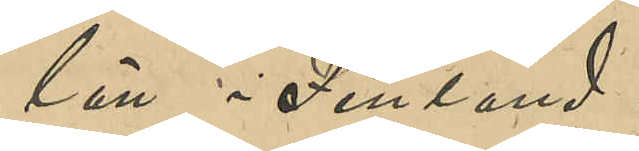län i Finland.
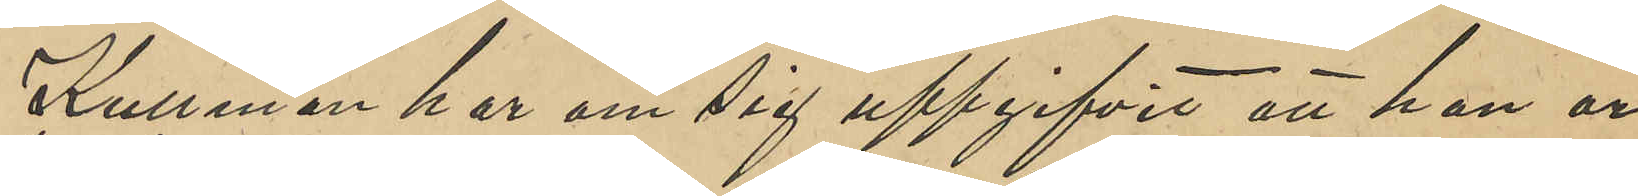Kullman har om sig uppgifvit att han är
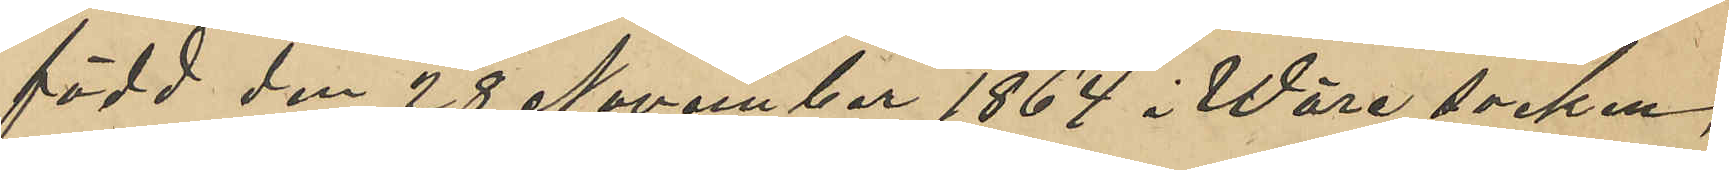född den 28 November 1864 i Wäre socken
